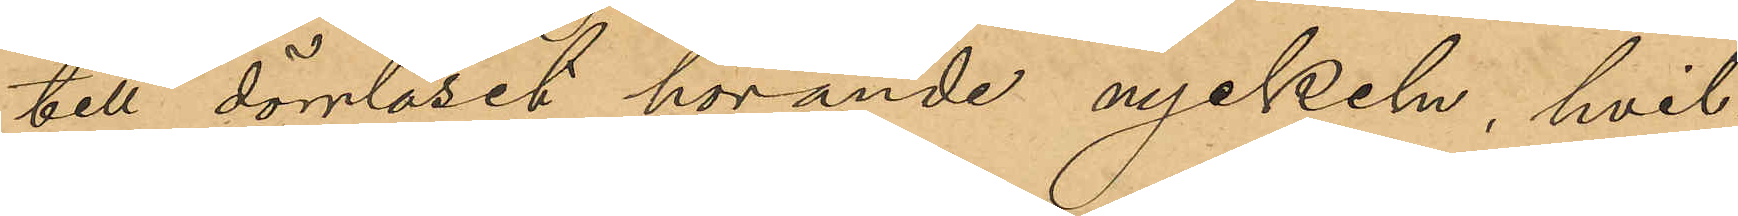till dörrlåset hörande nyckeln, hvil¬
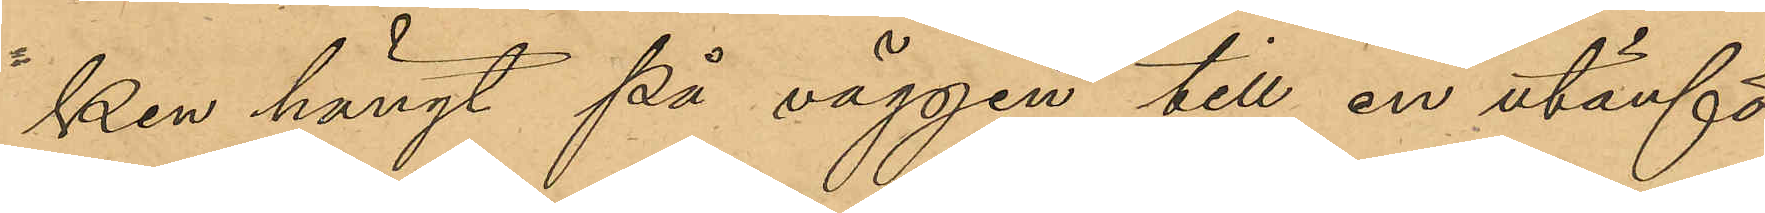ken hängt på väggen till en utanför
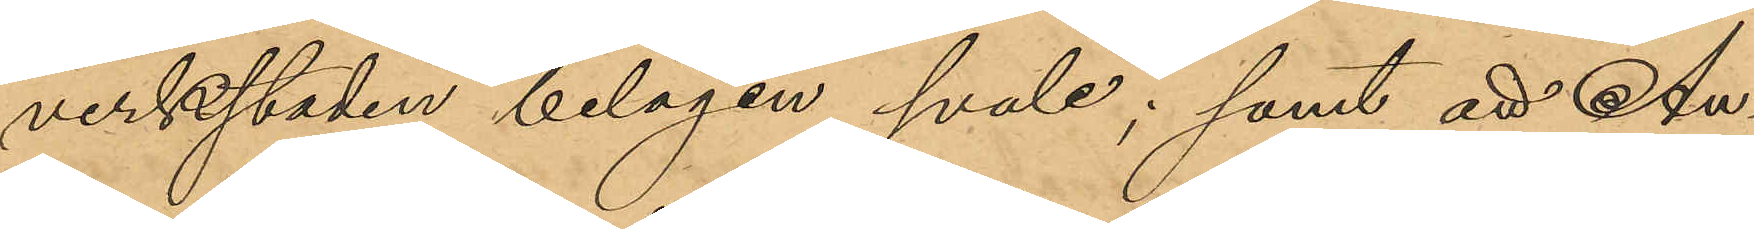verkstaden belägen svale; samt att An¬
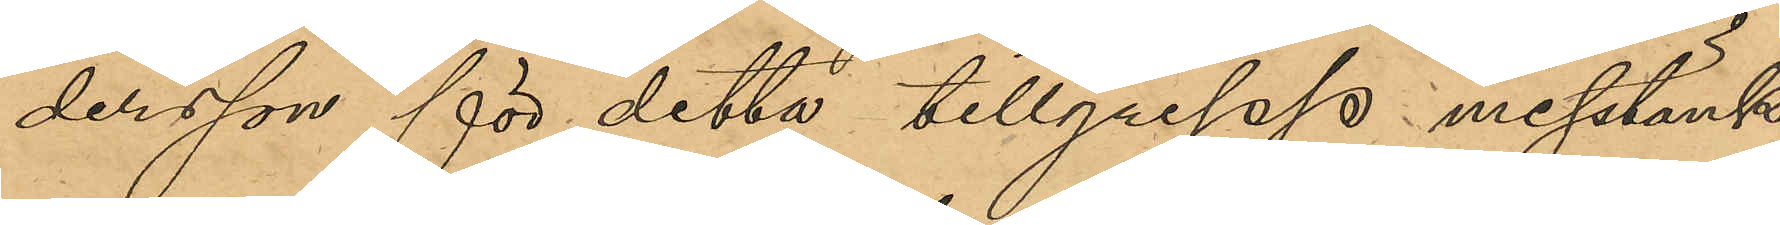dersson för detta tillgrepp misstänk¬
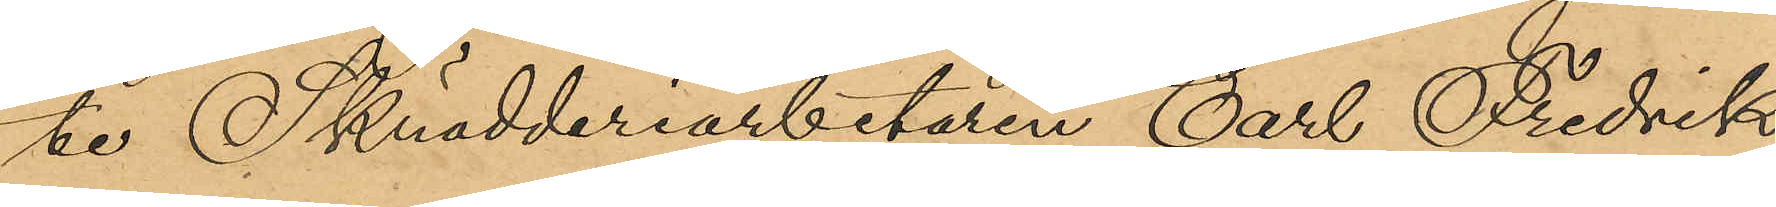te Skrädderiarbetaren Carl Fredrik 
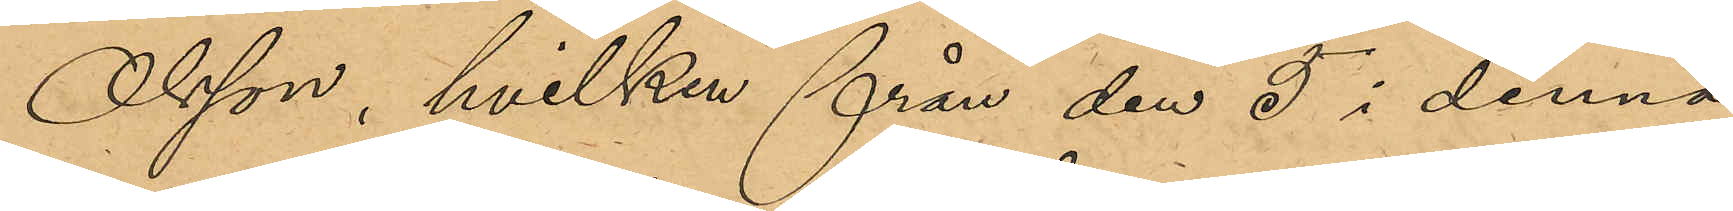Olsson, hvilken från den 5 i denna
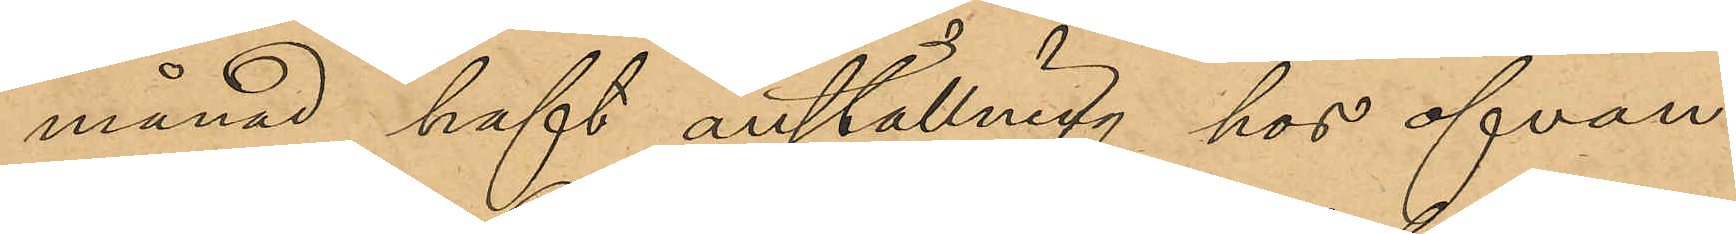månad haft anställning hos ofvan
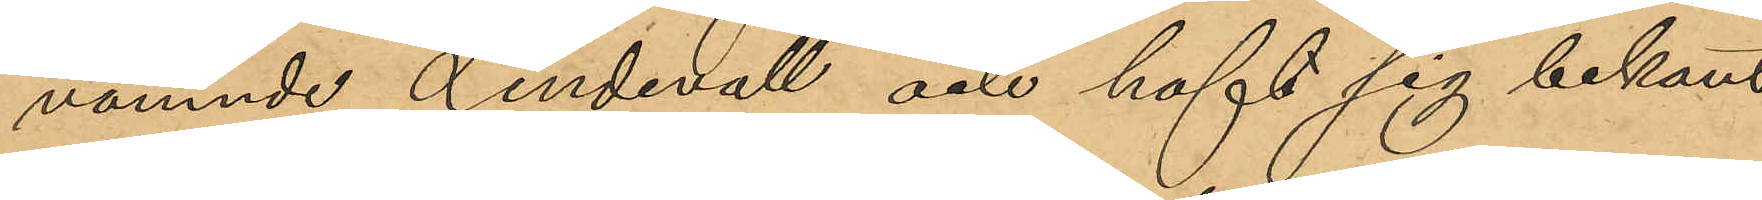nämnde Lindevall och haft sig bekant
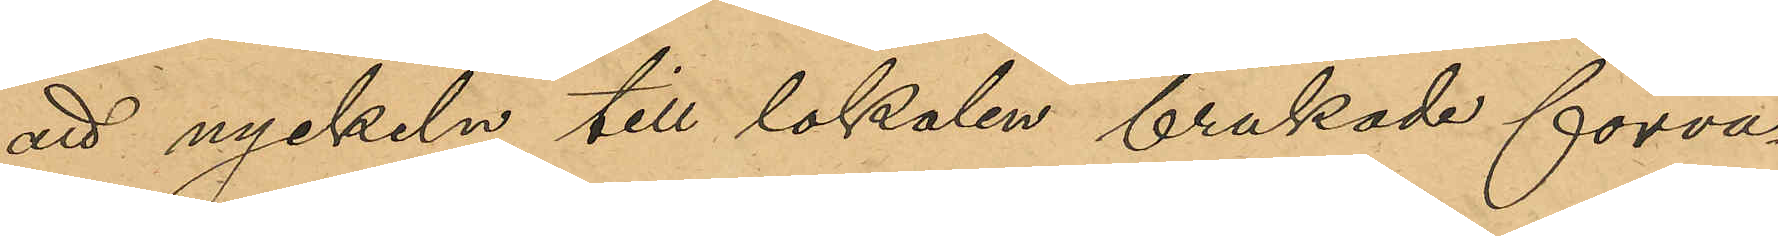att nyckeln till lokalen brukade förva¬
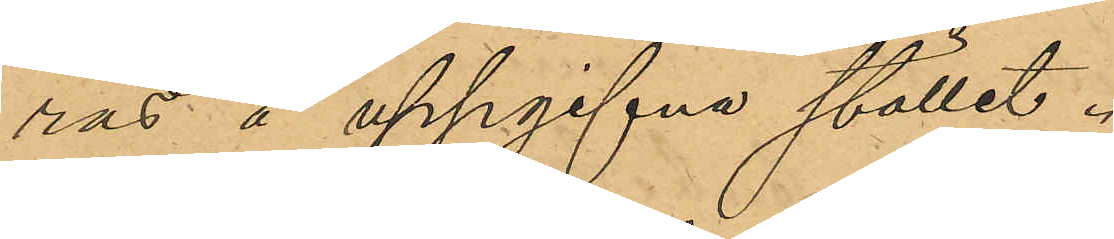ras å uppgifvna ställe.
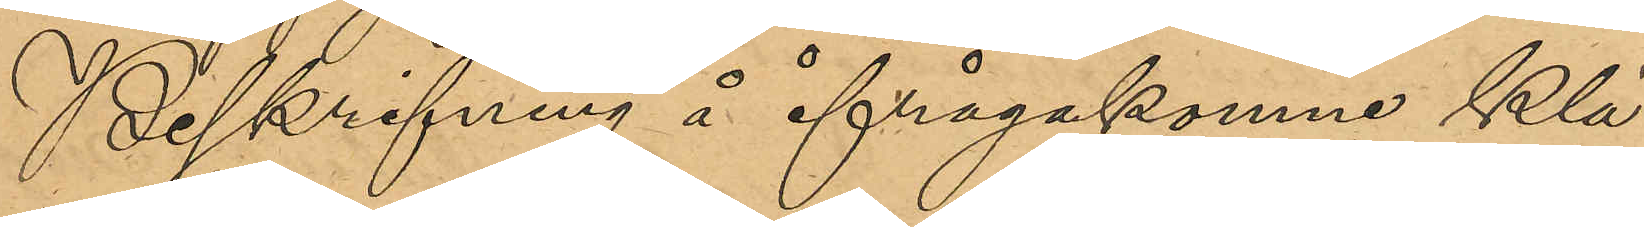Beskrifning å ifrågakomne Klä¬
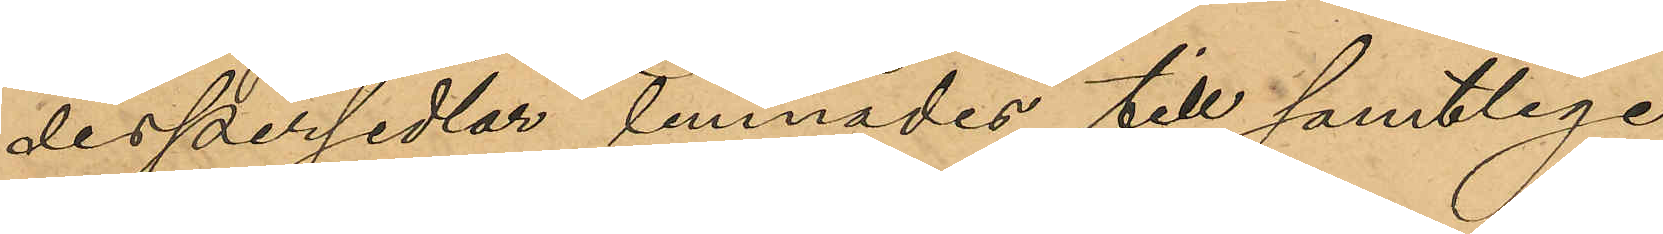despersedlar lemnades till samtlige
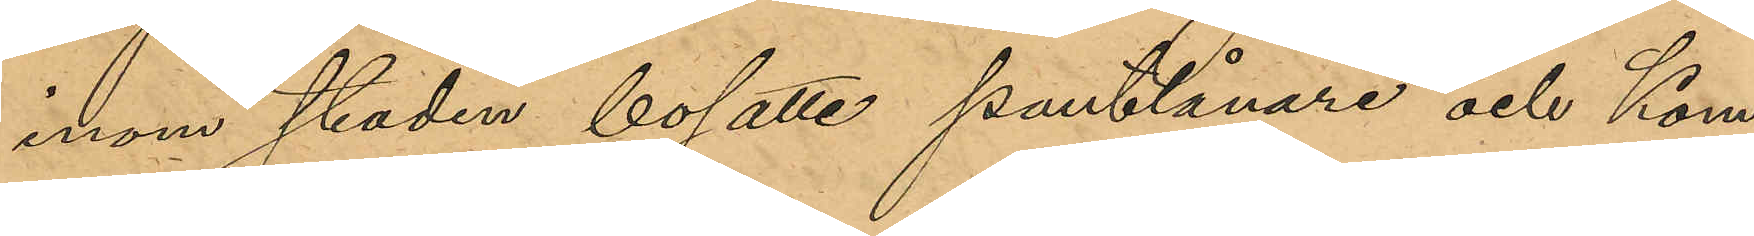inom staden bosatte pantlånare och Kom¬
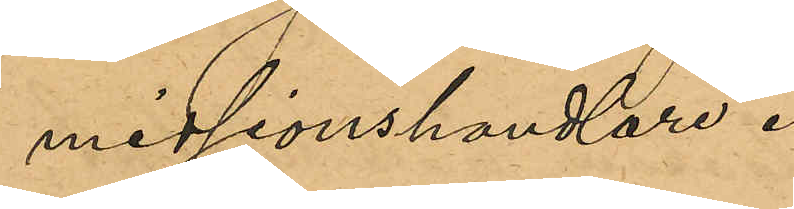missionshandlare.
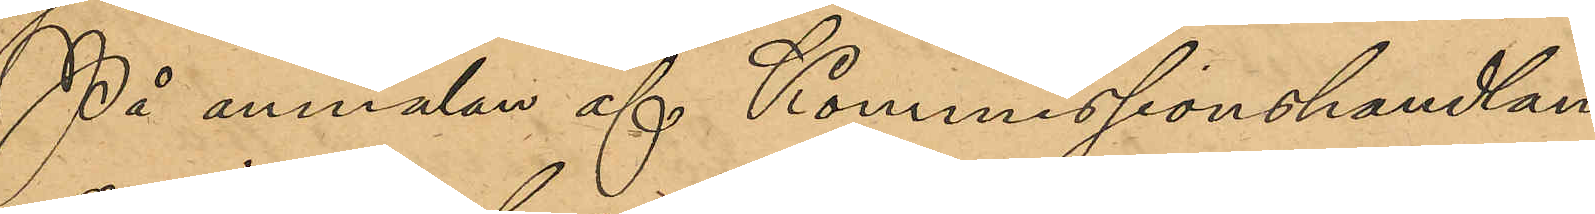På anmälan af Kommisionshandlan¬
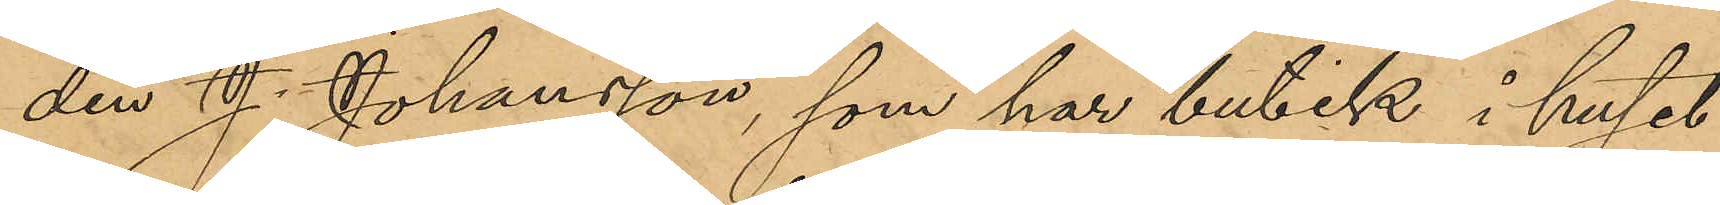den J. Johansson som har butik i huset
